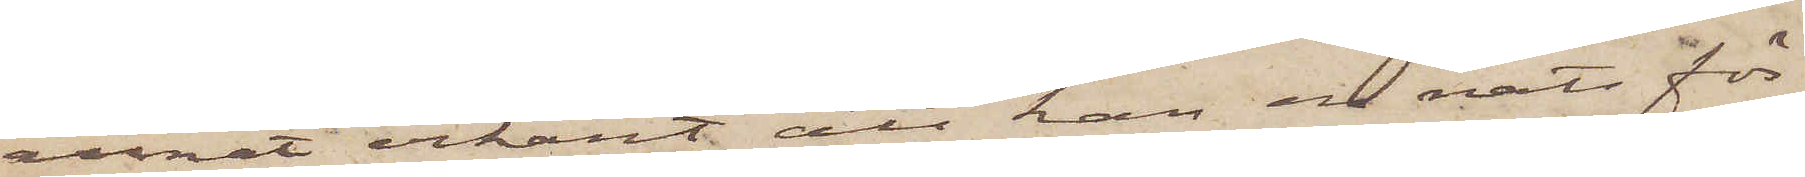annat erkänt att han en natt för
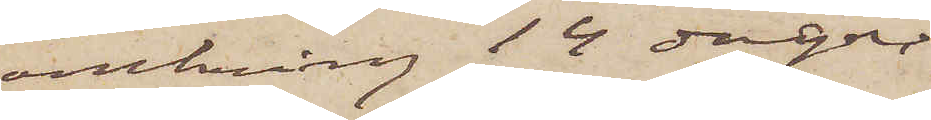omkring 14 dagar
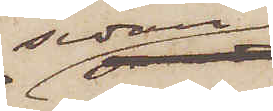sedan
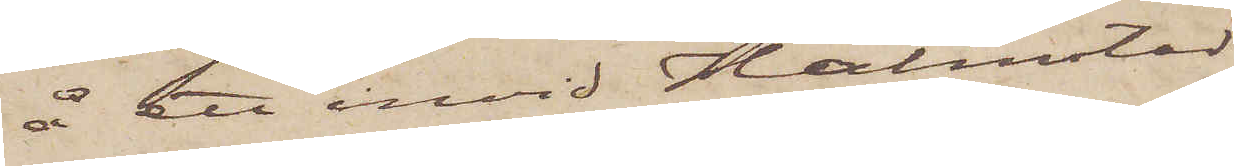å ett invid Halmstad
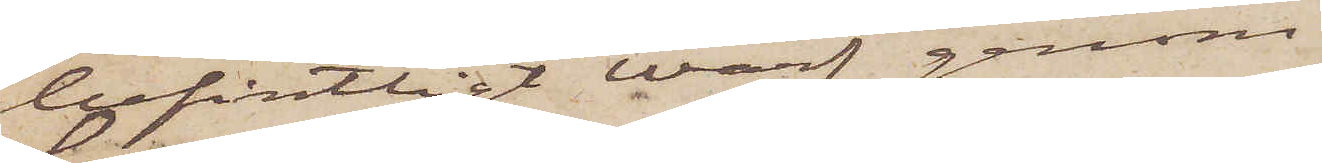befintligt Warf genom
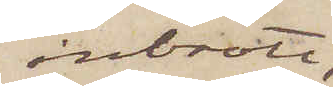inbrott,
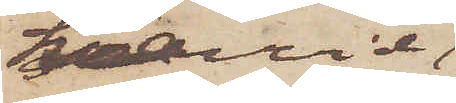hvarvid
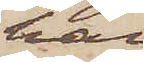han
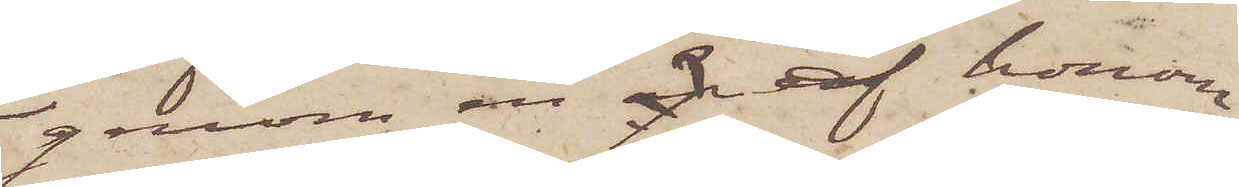genom en öp af honom
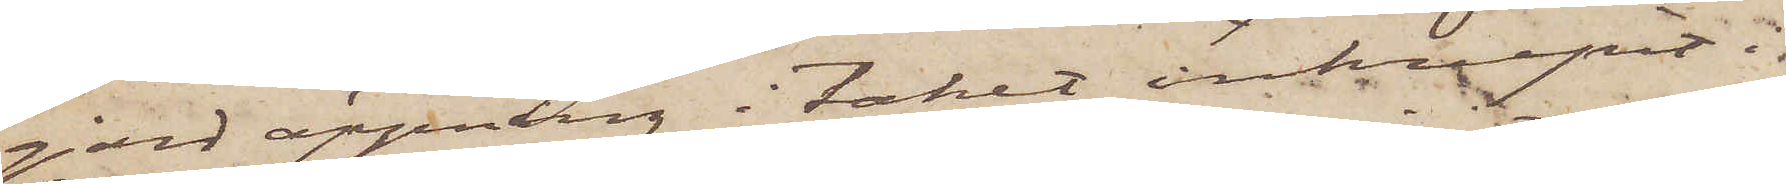gjord öppning i taket inkrupit i
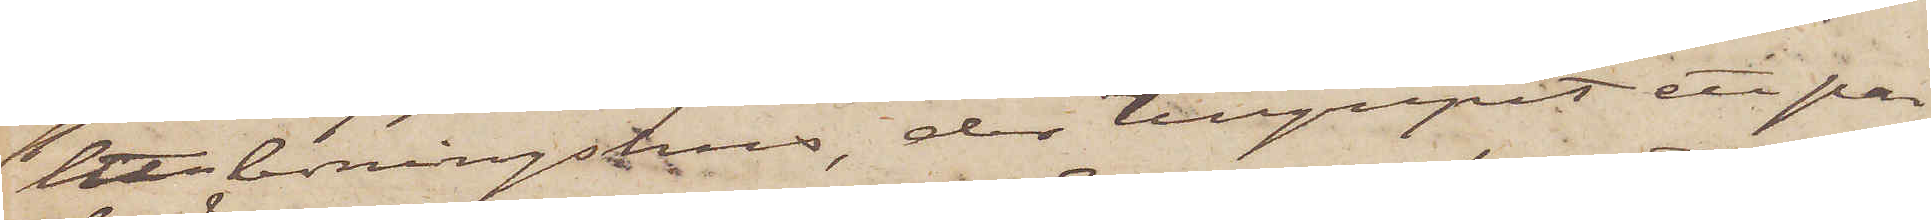ett boningshus, der tillgripit ett par
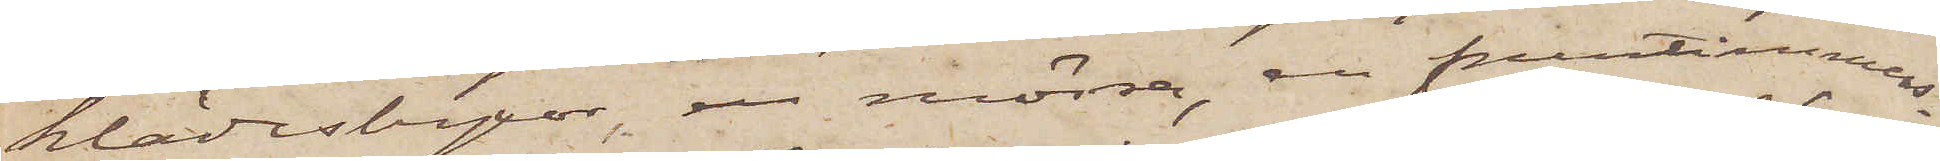klädesbyxor, en mössa, en fruntimmers¬
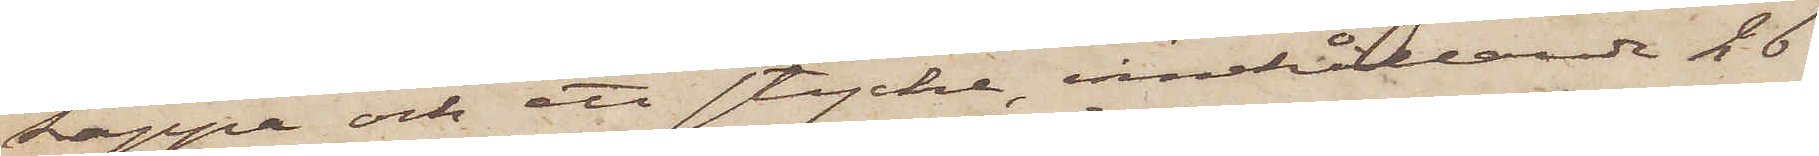kappa och ett stycke, innehållande 26
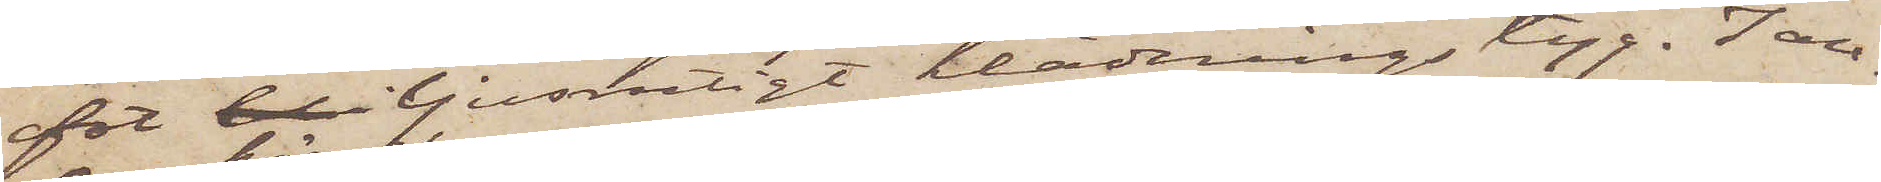fot ljusrutigt klädningstyg. I an¬
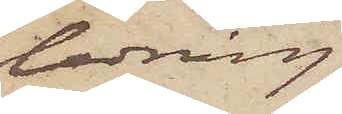ledning
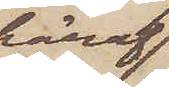häraf
